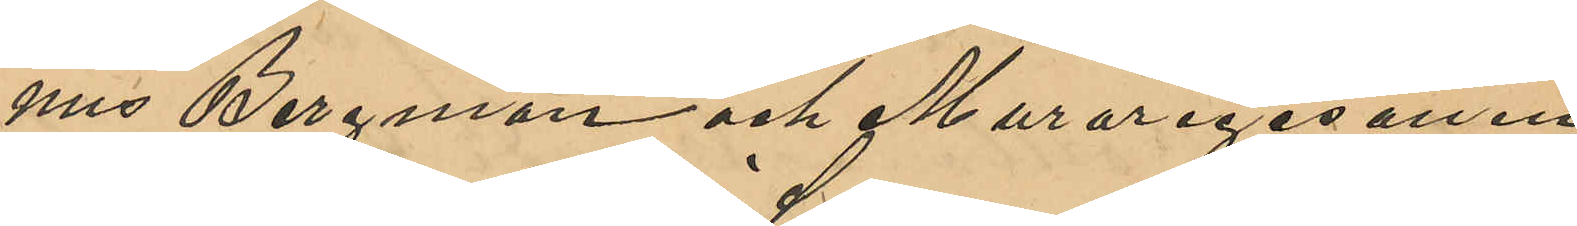nus Bergman och Muraregesällen
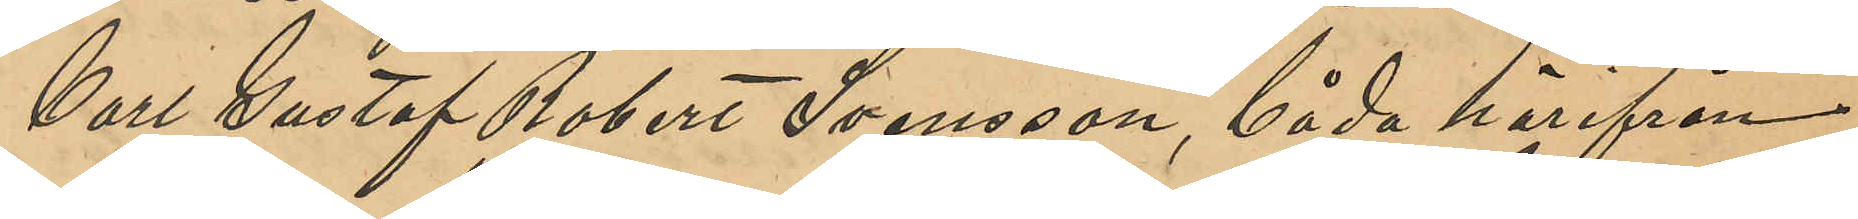Carl Gustaf Robert Svensson, båda härifrån
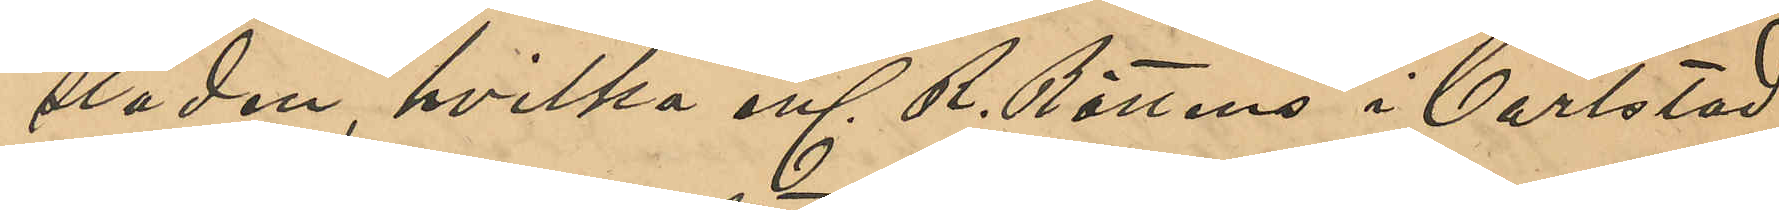staden, hvilka enl R. Rättens i Carlstad
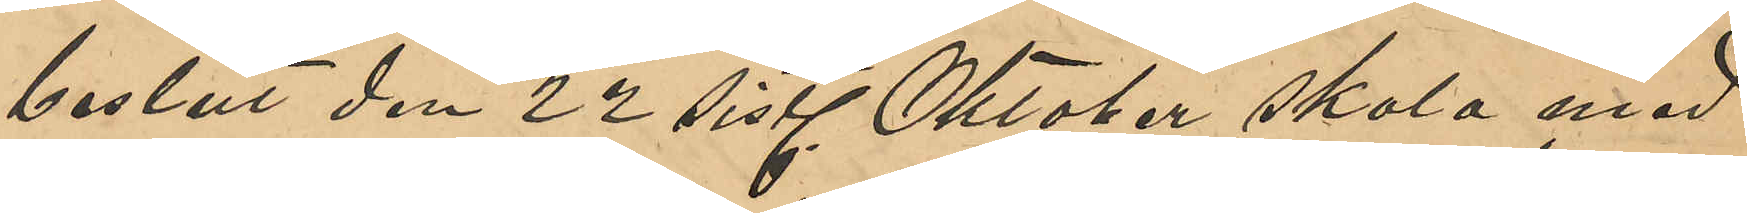beslut den 22 sistl Oktober skola med
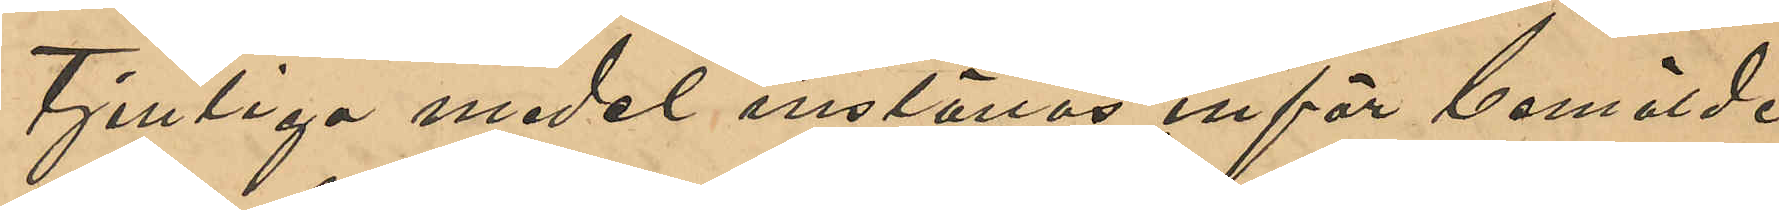tjenliga medel inställas inför bemälde
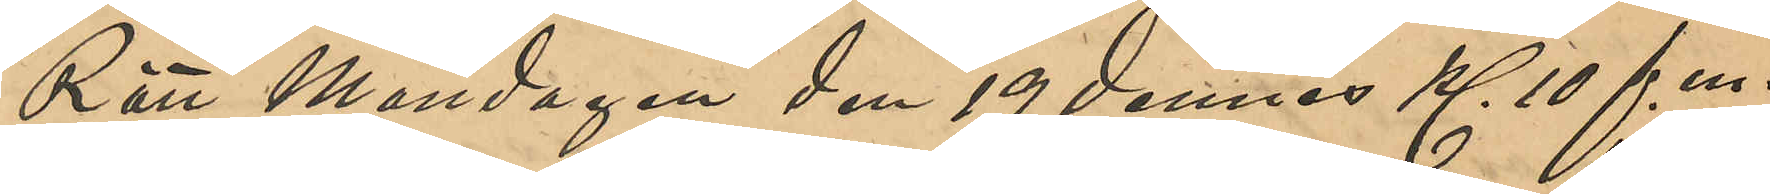Rätt Måndagen den 19 dennes Kl 10 f. m.,
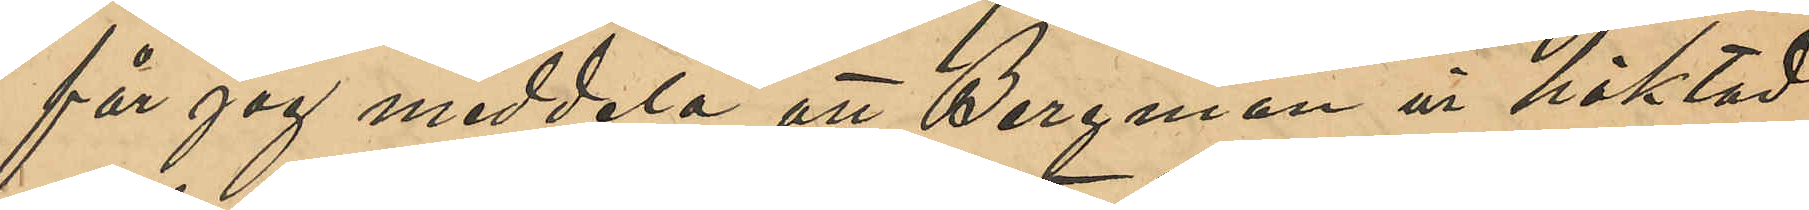får jag meddela att Bergman är häktad
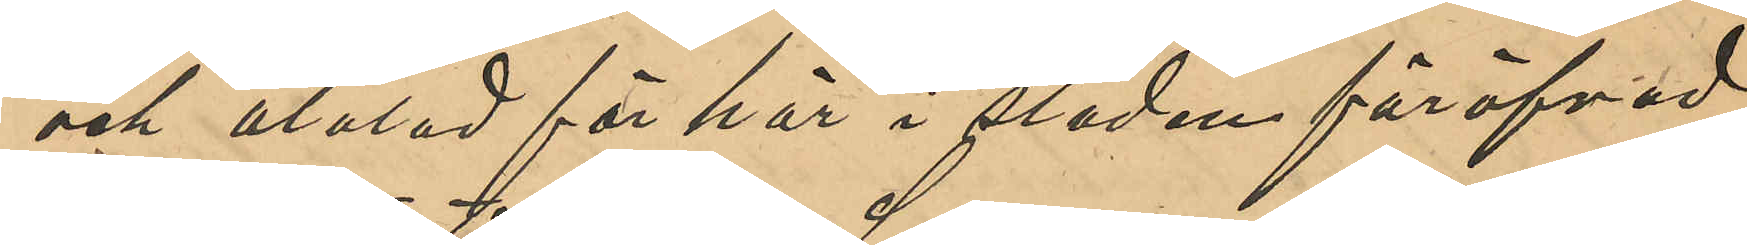och åtalad här i staden föröfvad
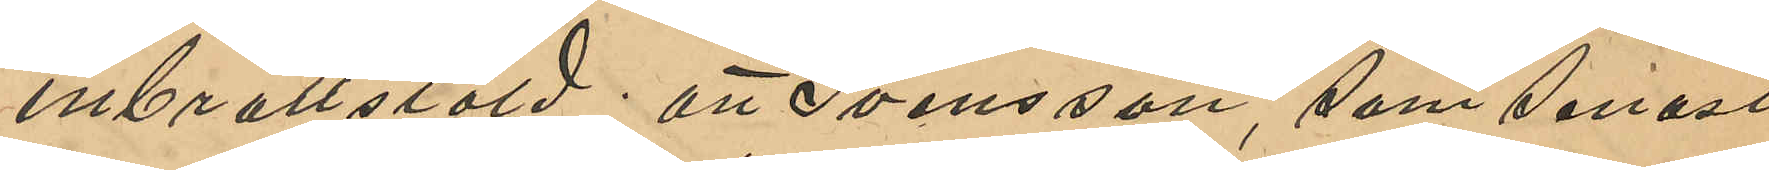inbrottsstöld; att Svensson, som senast
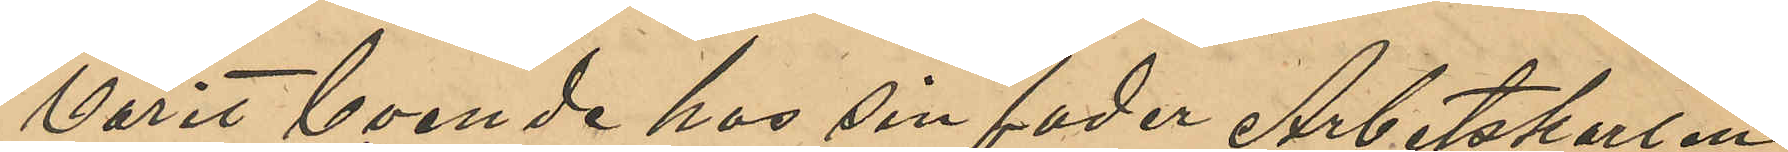varit boende hos sin fader Arbetskarlen
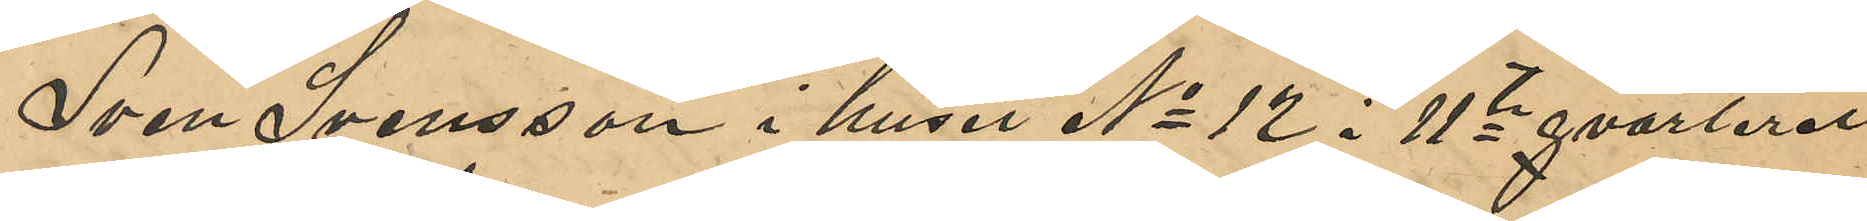Sven Svensson i huset No 12 i 11te qvarteret
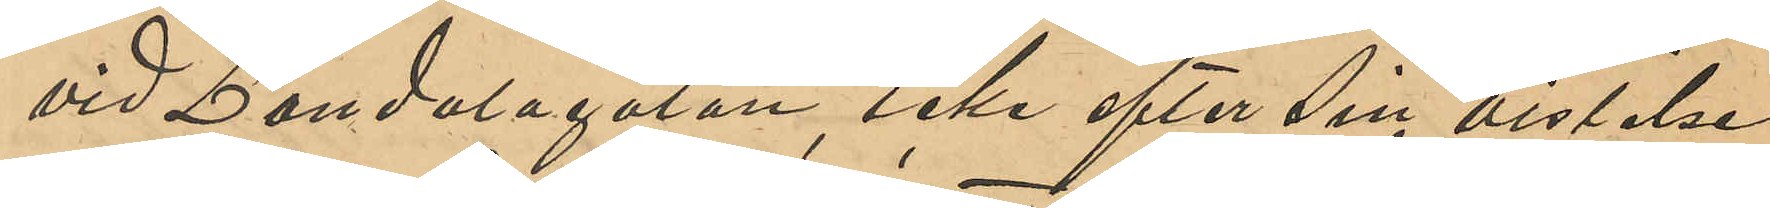vid Landalagatan, icke efter sin vistelse
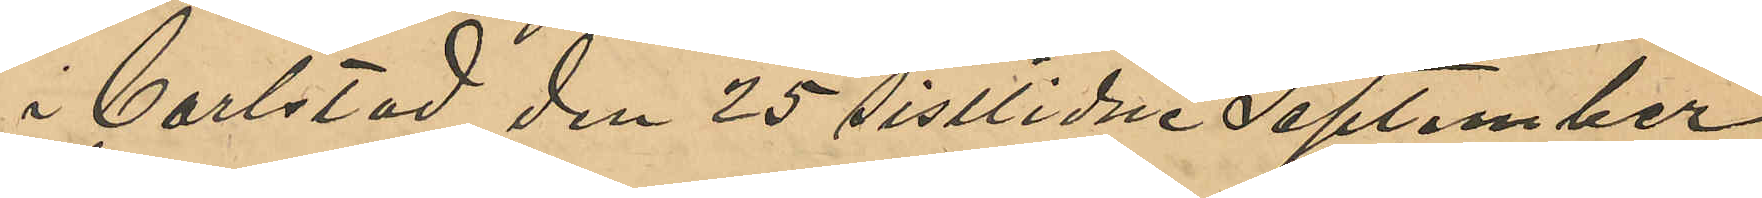i Carlstad den 25 sistlidne September
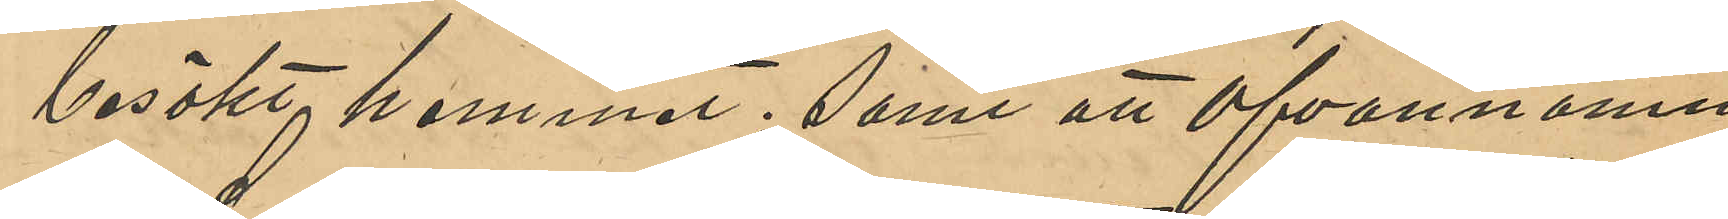besökt hemmet; samt att ofvannämn¬
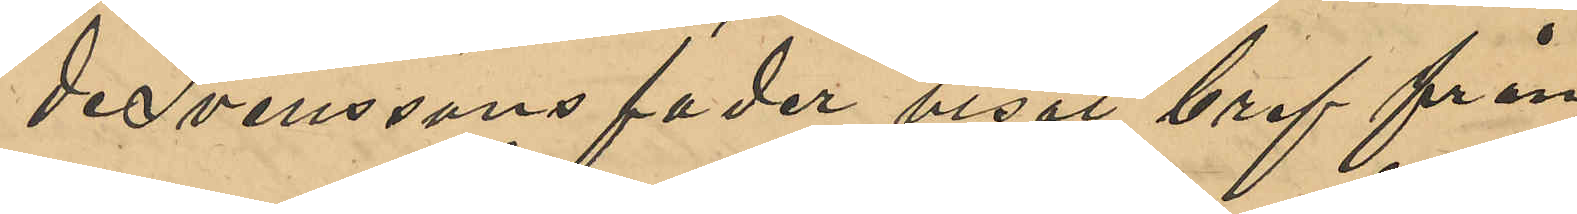de Svenssons fader visat bref från
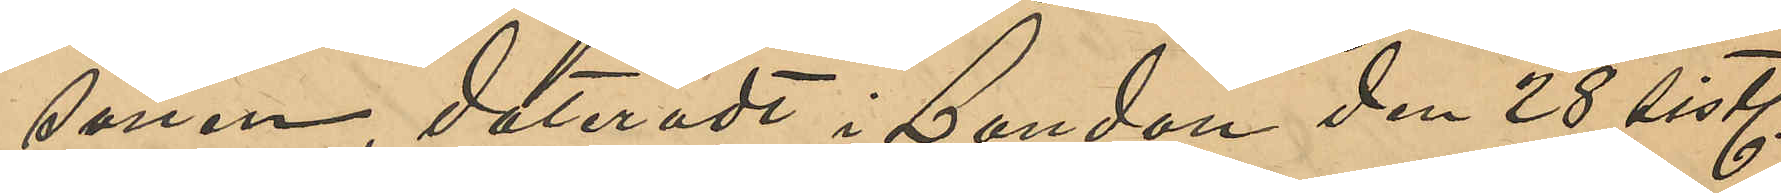sonen dateradt i London den 28 sistl
